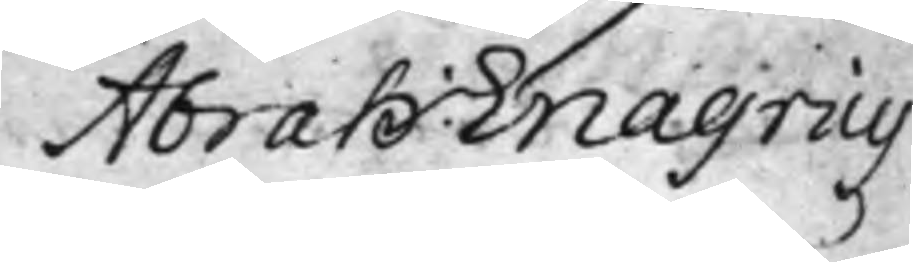Abrah: Enagrius
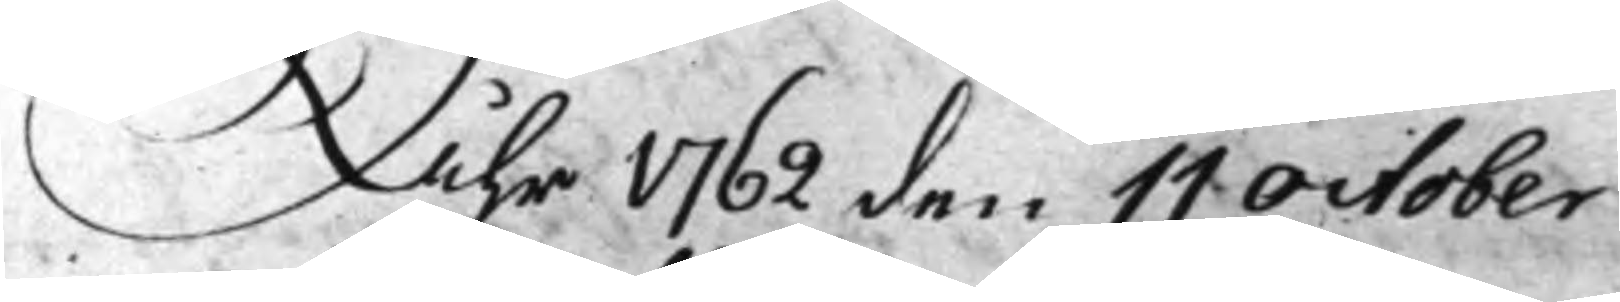Åhr 1762 den 11 October
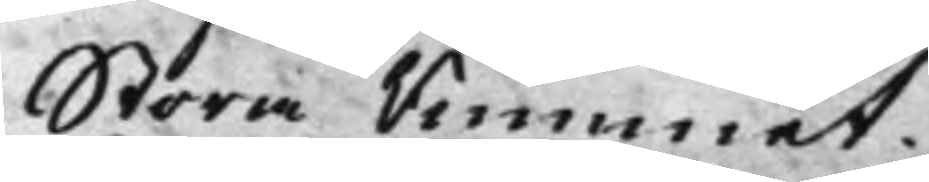Stora Rummet.
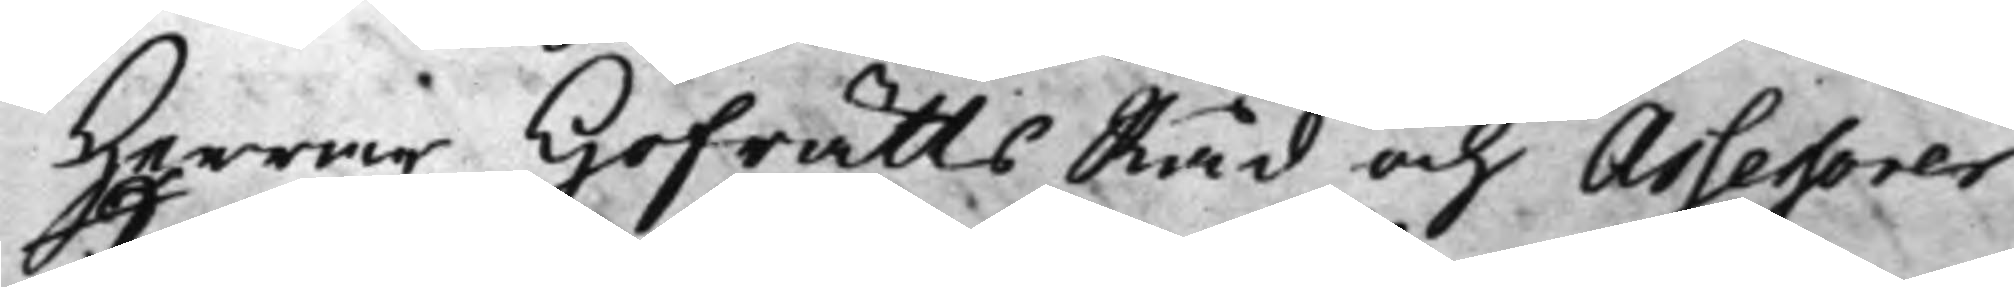Herrar HofrättsRåd och Assessorer
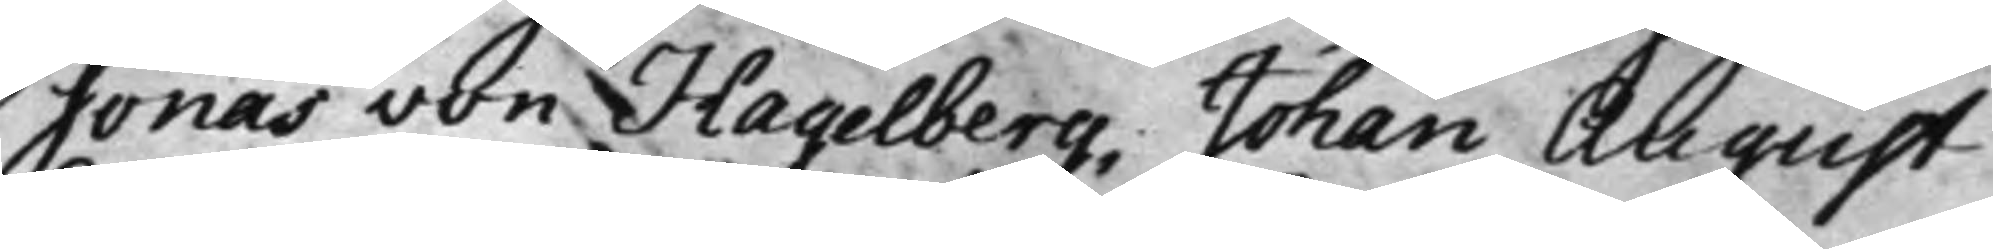Jonas von Hagelberg; Johan August
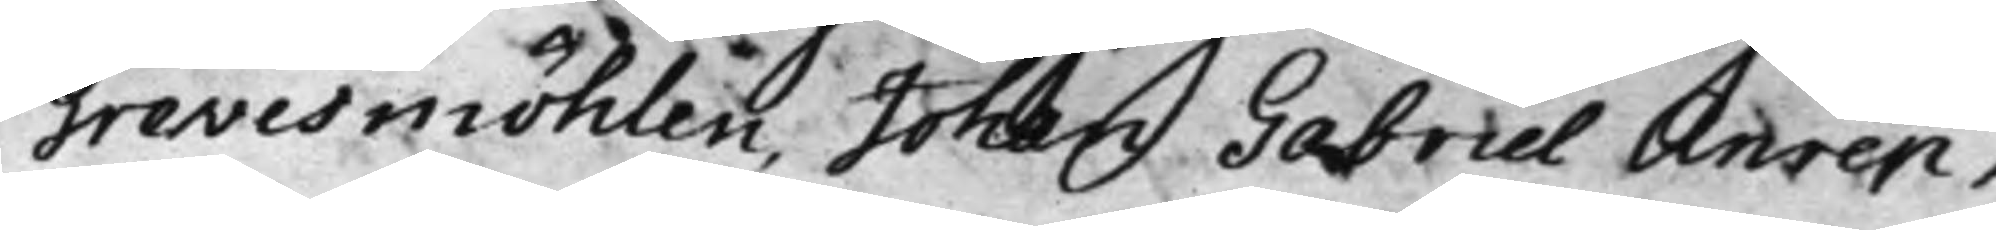Grevesmöhlen, Johan Gabriel Anrep,
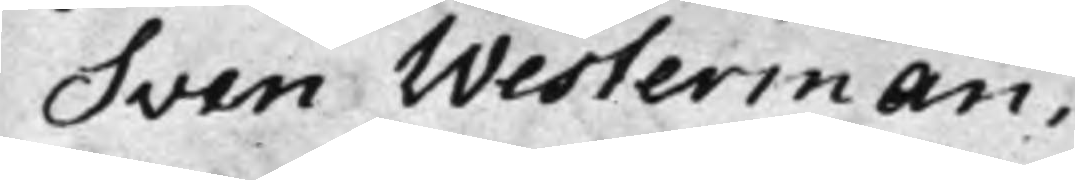Sven Westerman.
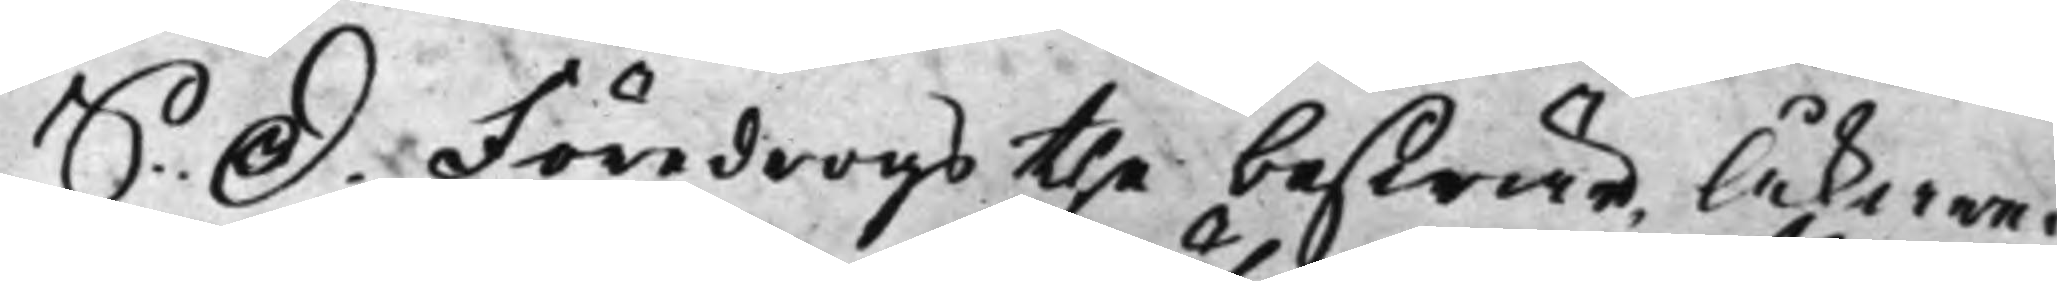S: D: Föredrogs the beswär Åkaren
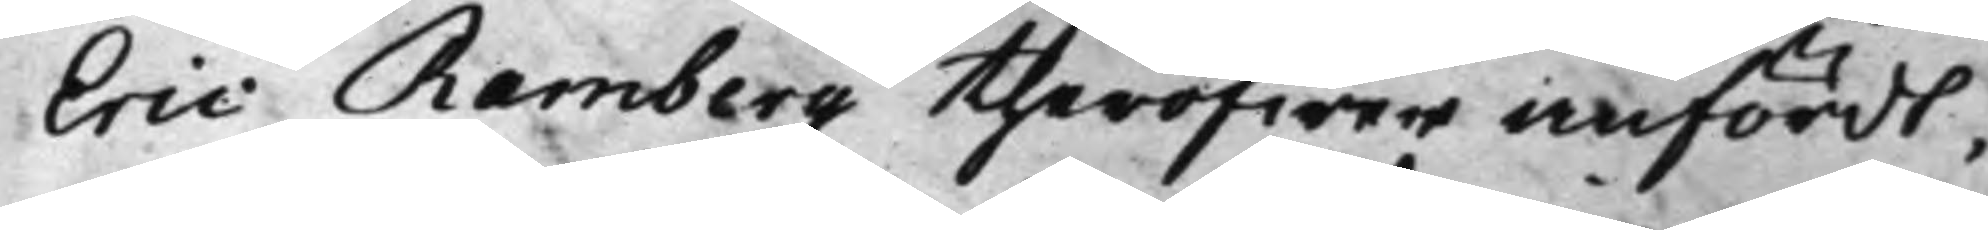Eric Ramberg theröfwer anfördt,
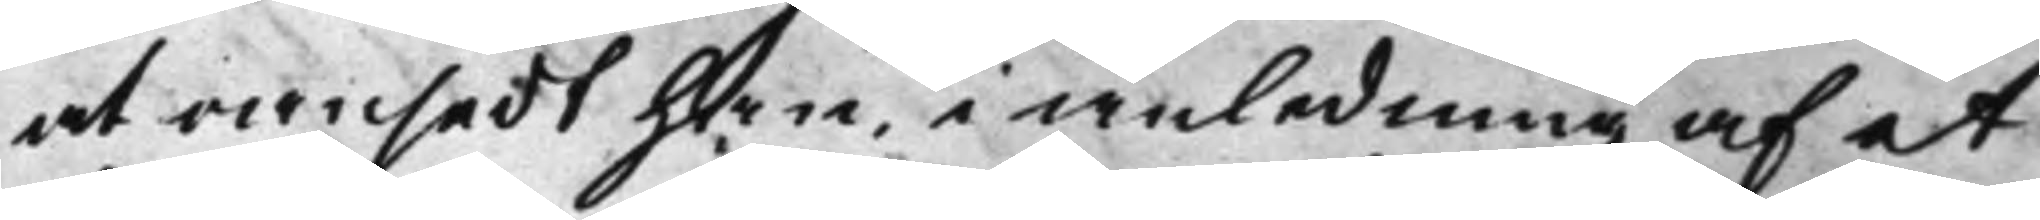at oansedt han i anledning af et
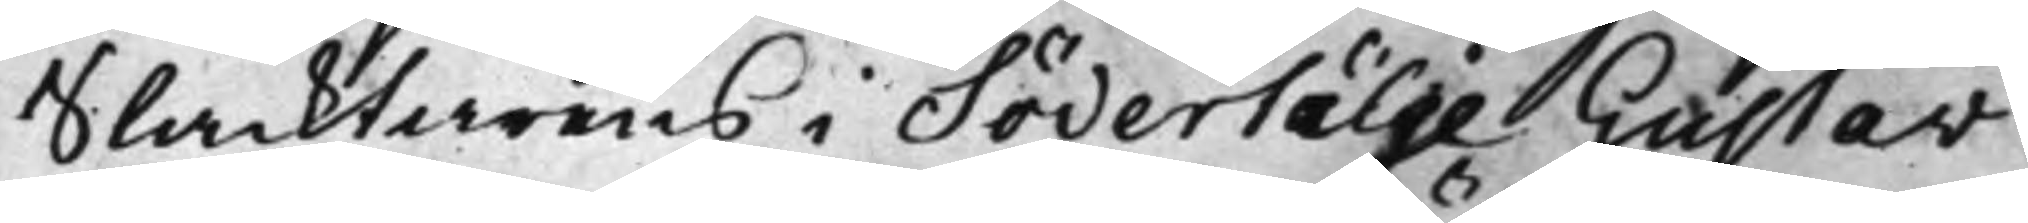Slacktarens i Södertälje Gustav
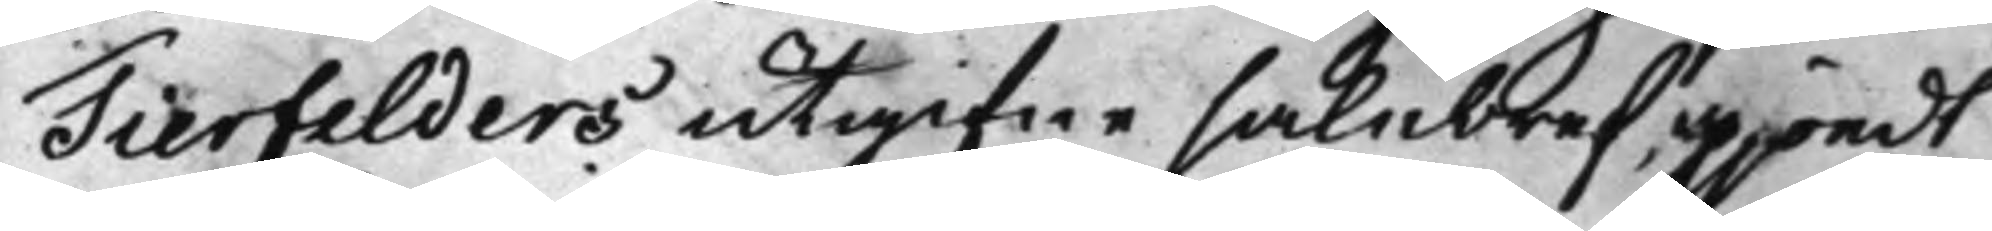Tierfelders utgifne salubref, gjordt
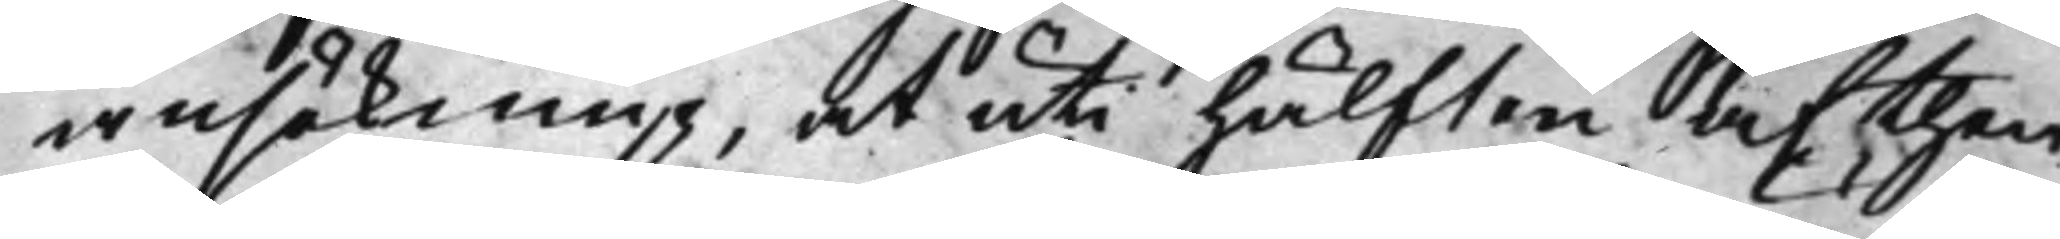ansökning, at uti hälften af then
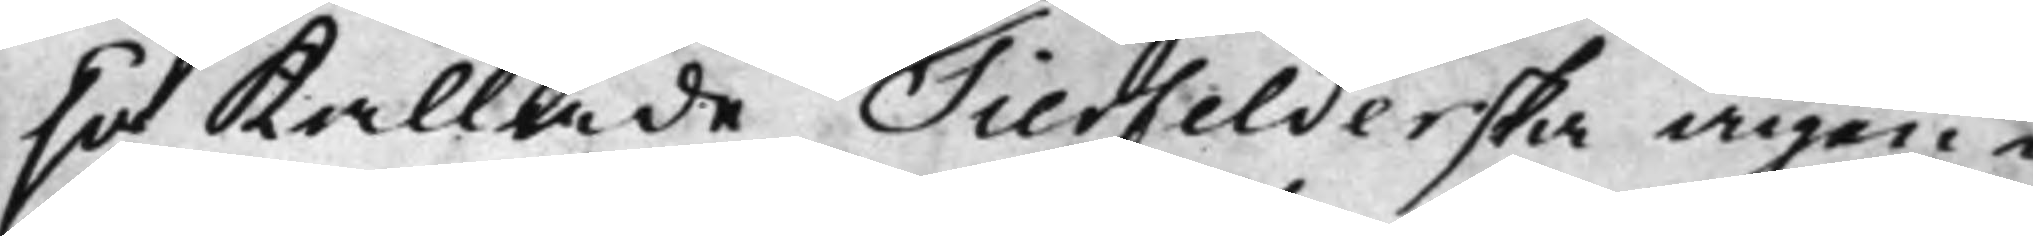så kallade Tierfelderska ägen¬
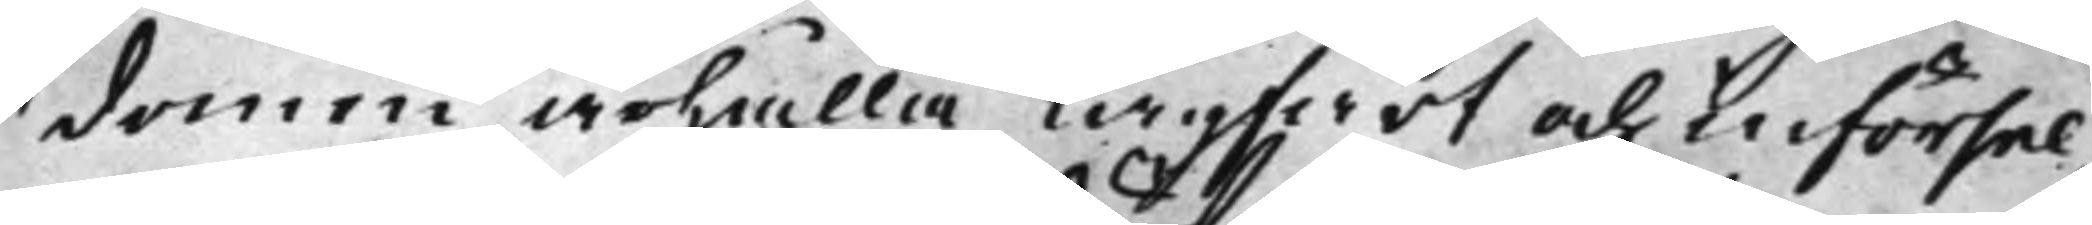domen ärhålla lagfart och införsel,
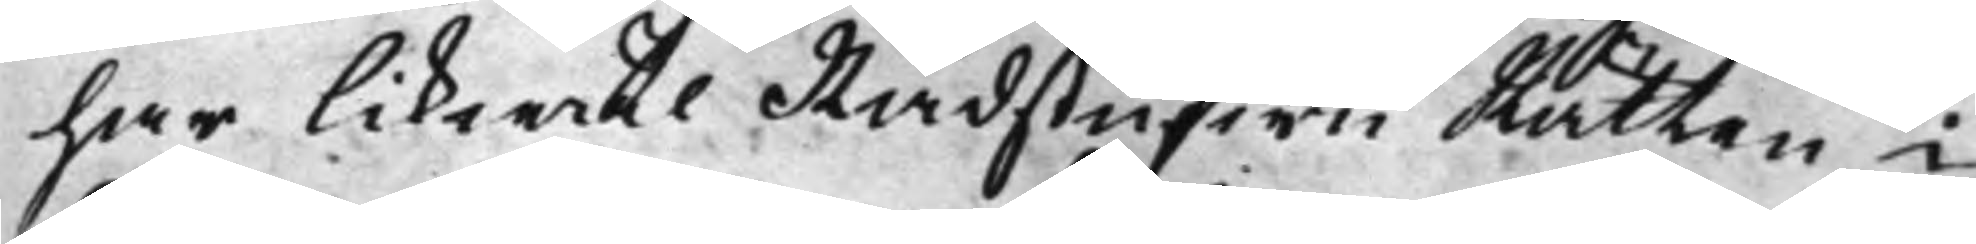har likwäl RådstufwuRätten i
